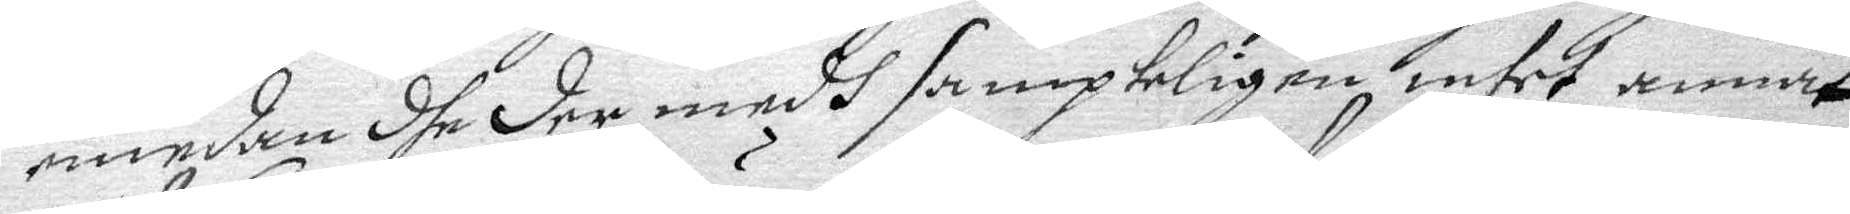emedan dhe der medh sampteligen intet annat
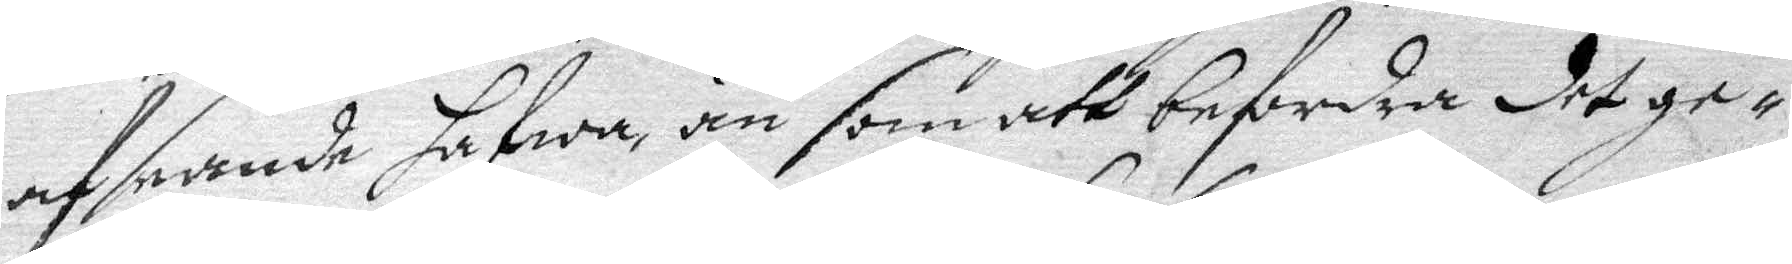af seande hafwa än som att befordra det ge¬
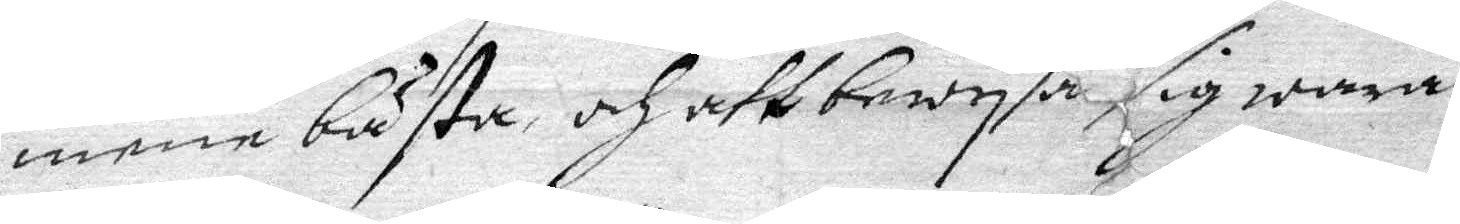mene bästa, och att bewysa sig wara
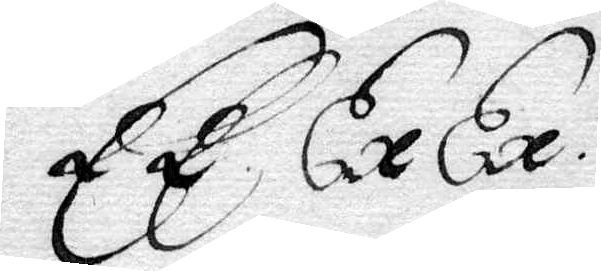EE. Ex Ex:tier
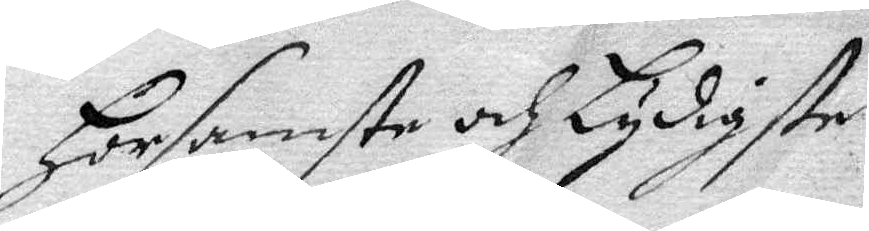Horsmste och Lydigste
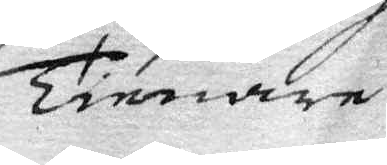Tienare
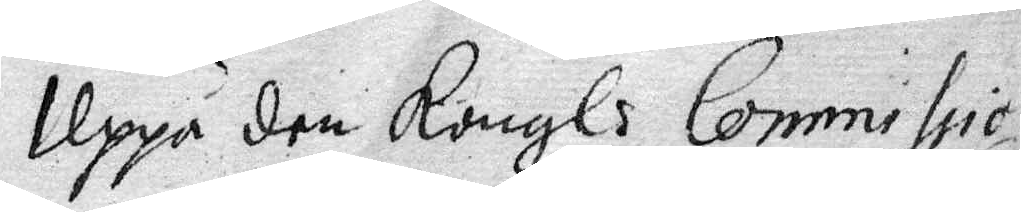Uppå den Kongl Commissio¬
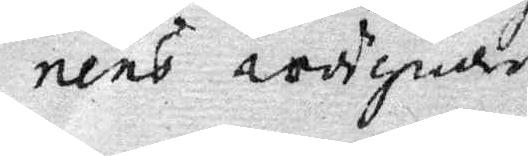nens wörgade
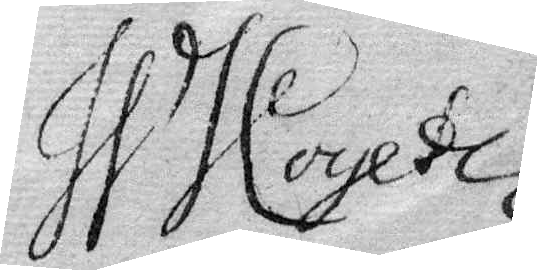W J Coyetz
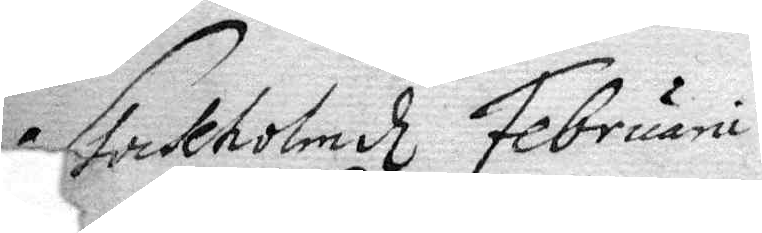Stockholm Februarii
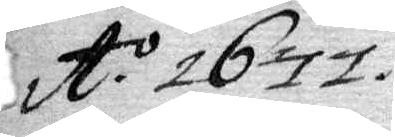A:o 1677.
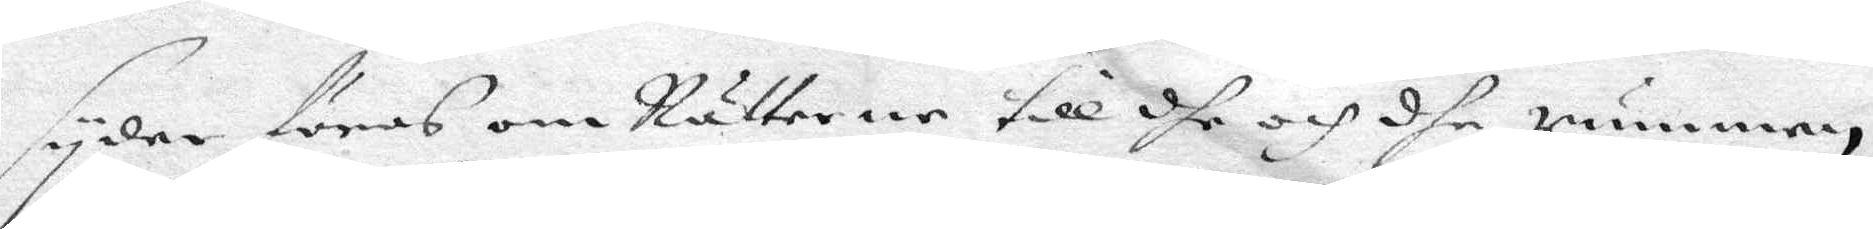syder föras om Nätterne till dhe och dhe rummen,
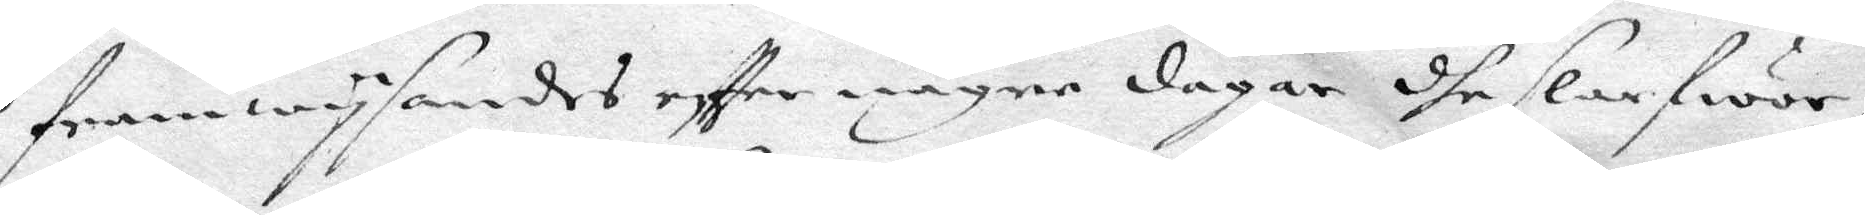framwysandes eftter någre dagar dhe slafwor,
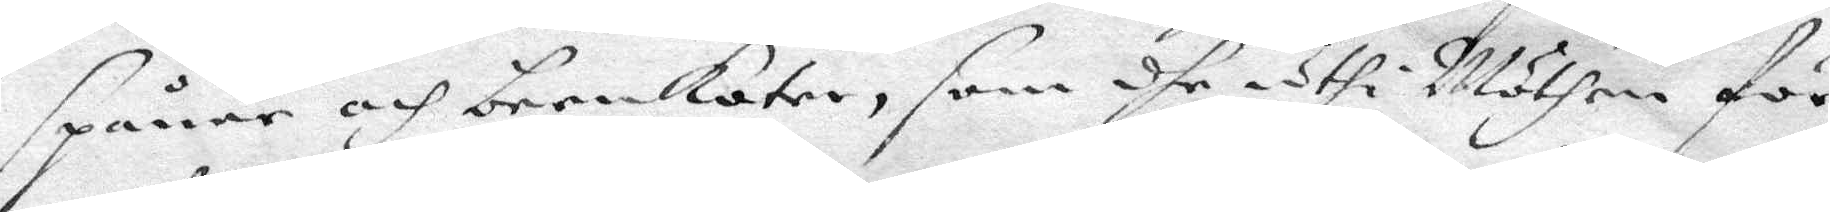Spåner och beenkoter, som dhe uthi Möthen för
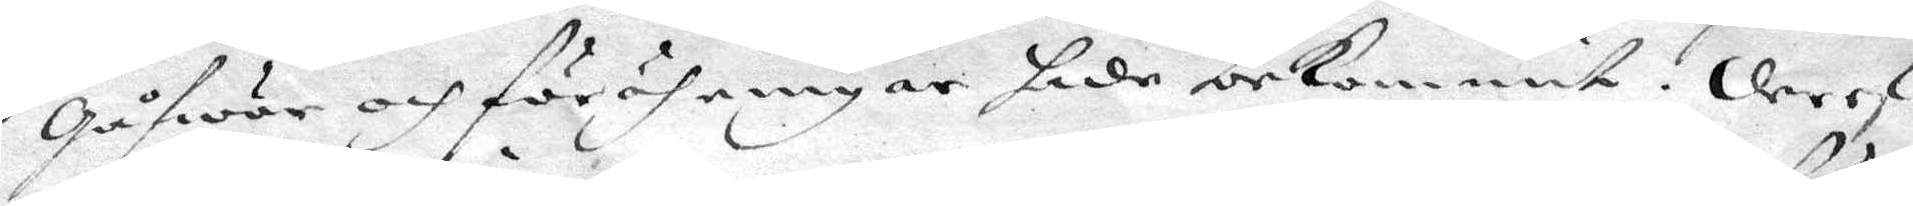gåfwor och förrähringar hade bekommit. der ef¬
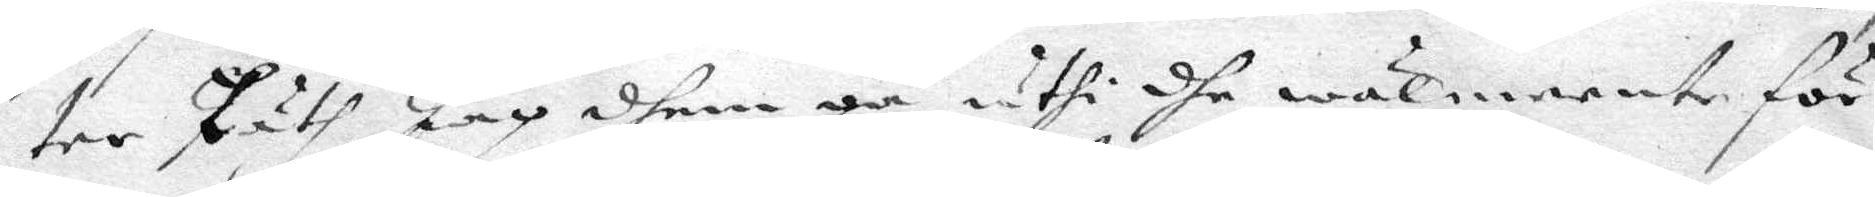ter Läth Jag dhem gå uthi dhe wäl meente för¬
